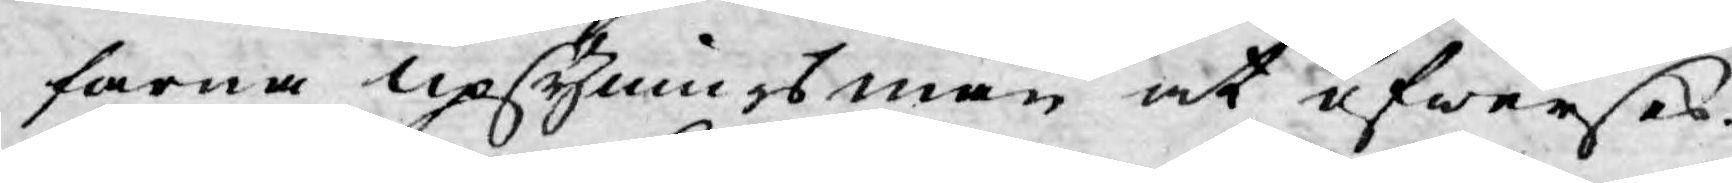farna upsyningsmän at öfwerses.
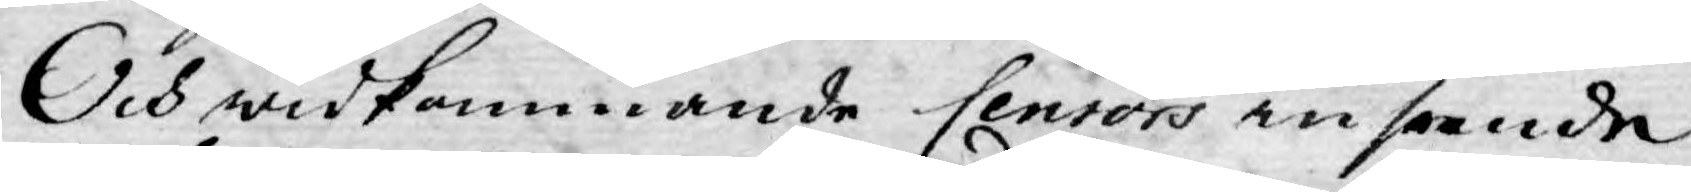Och widkommande Censors inseende
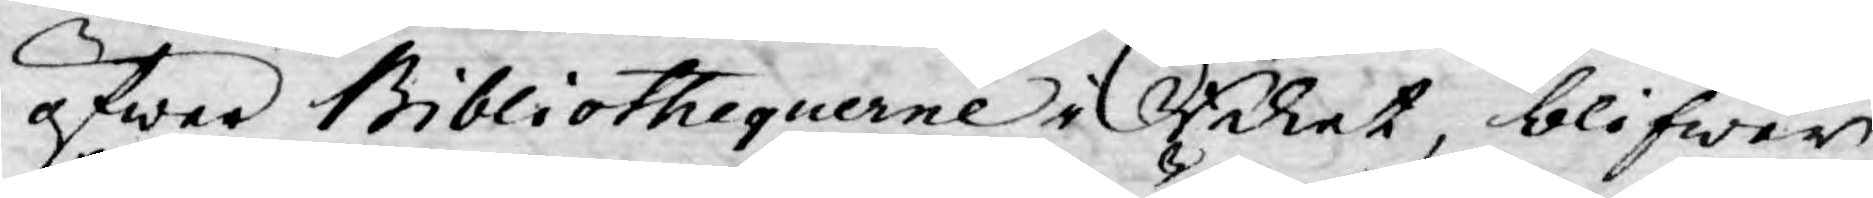öfwer Bibliothequerne i Riket, blifwer
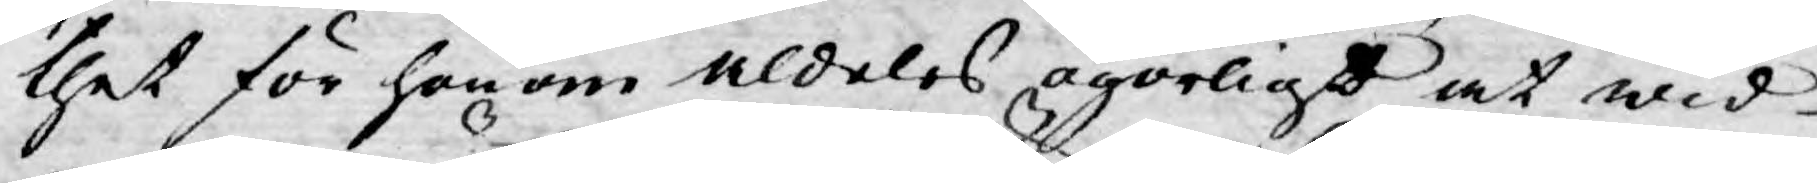thet för honom aldeles ogörligt at wid
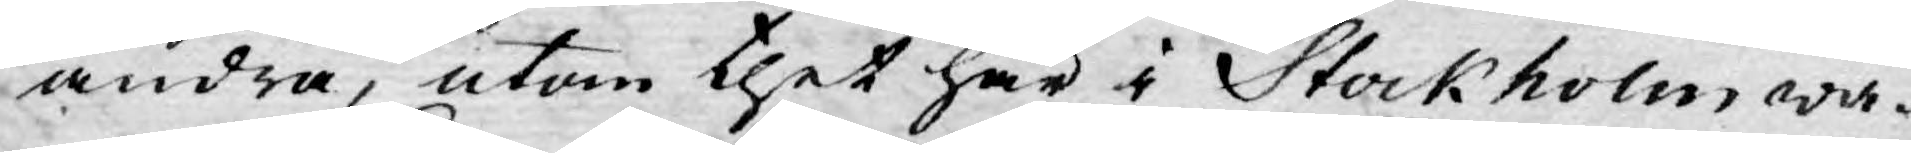andra, utom thet här i Stockholm wa¬
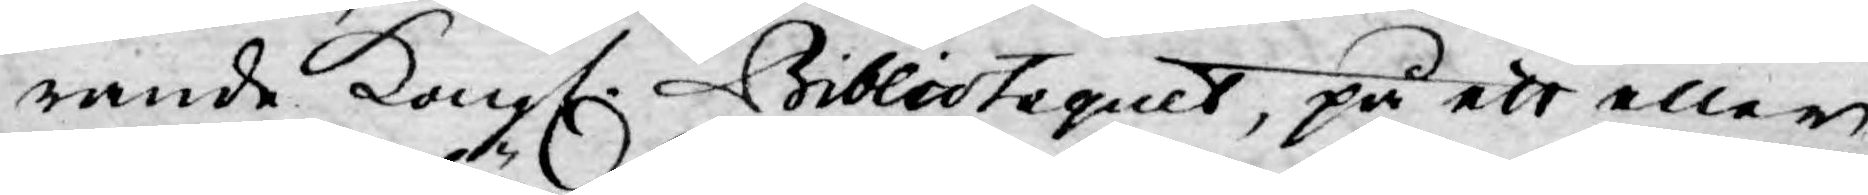rande Kongl. Bibliotequet, på ett eller
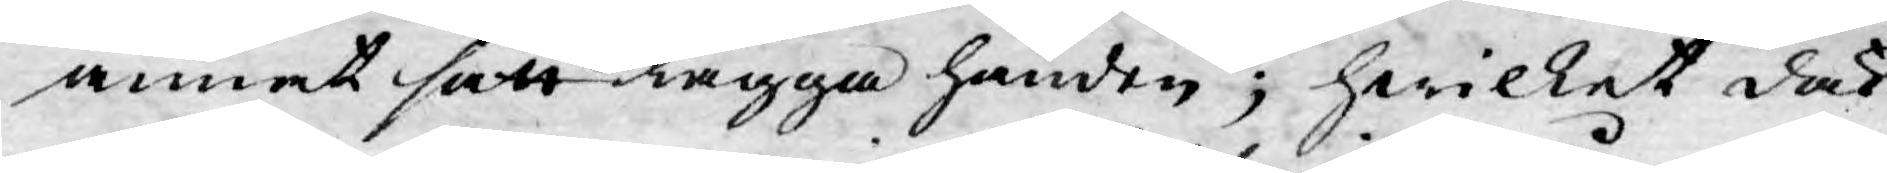annat sätt lägga handen; hwilket dock
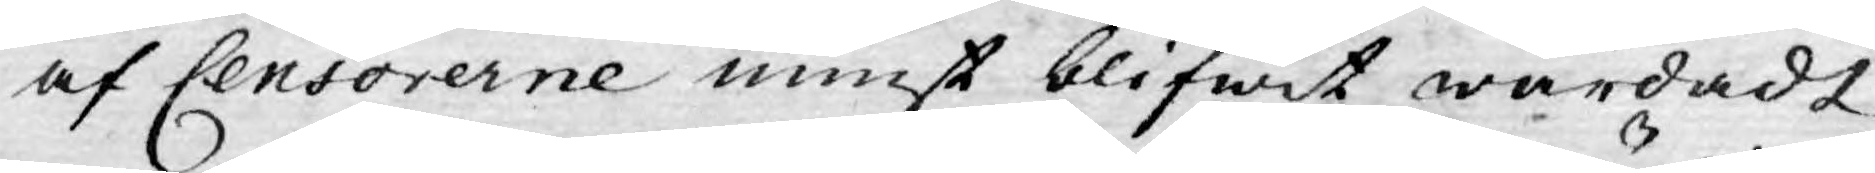af Censorerne minst blifwit wårdadt
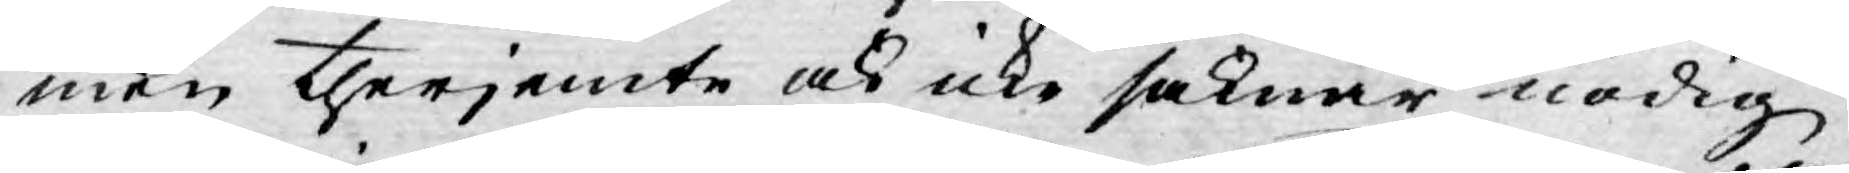men therjemte ock icke saknar nödig
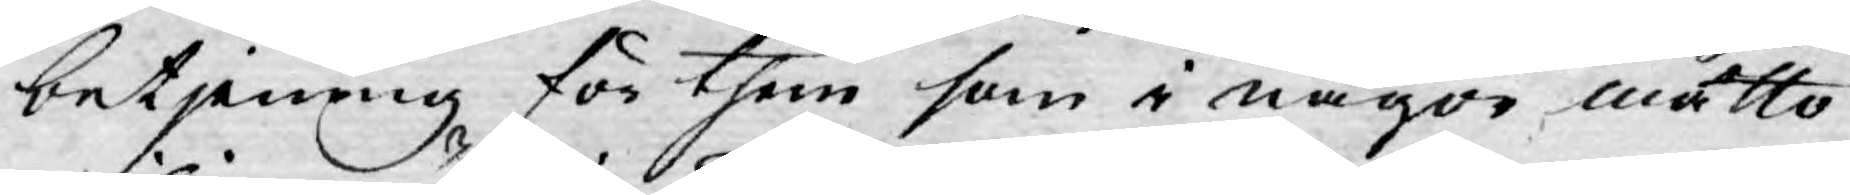betjening för them som i någon måtto
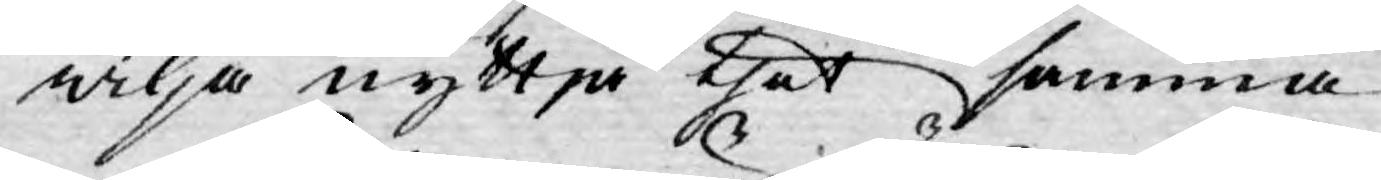wilja nyttja thet samma.
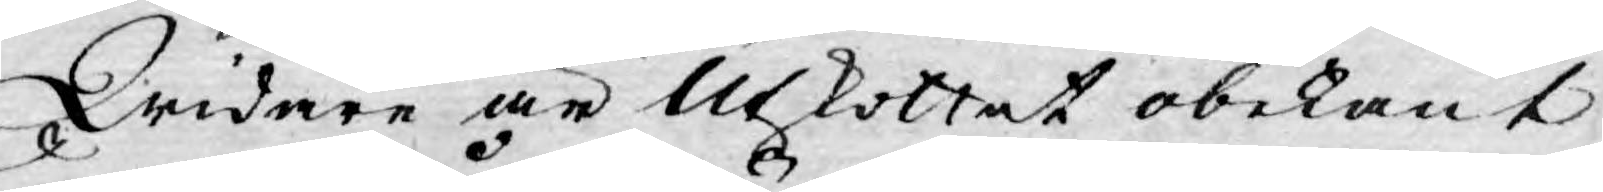Widare är Utskottet obekant,
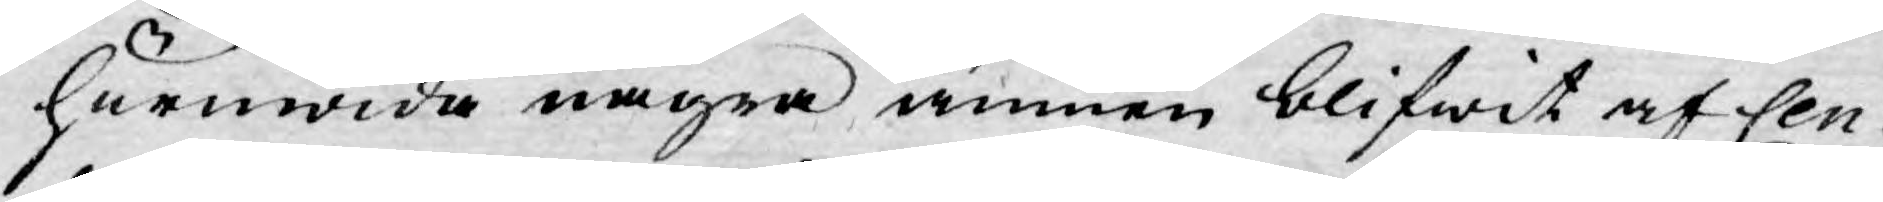huruwida några ämnen blifwit af Cen¬
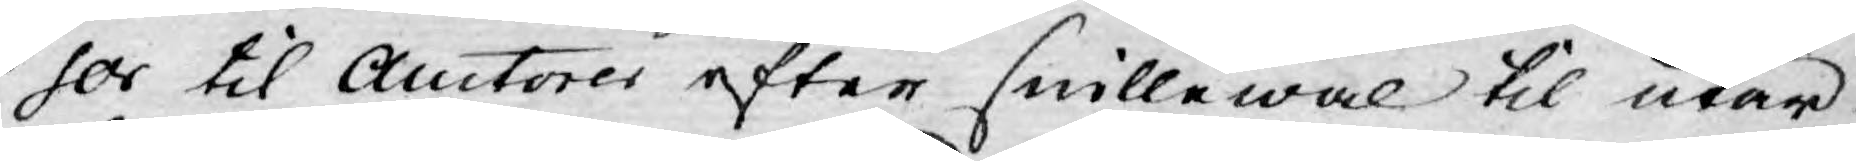sor til Auctorer efter snillewal til utar¬
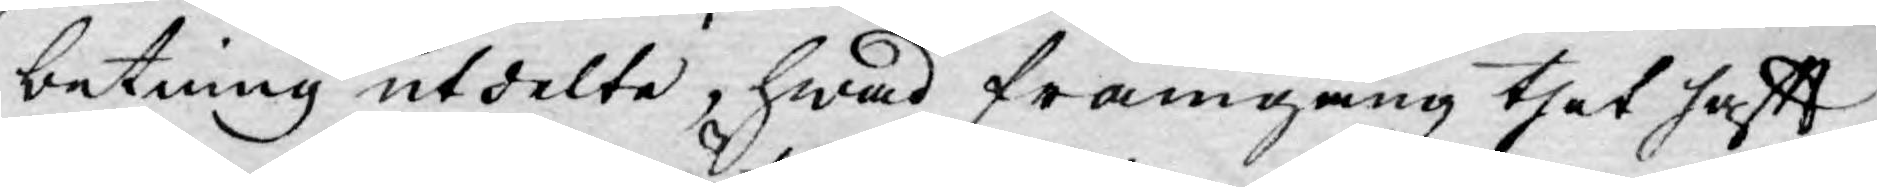betning utdelte, hwad framgång thet haftt
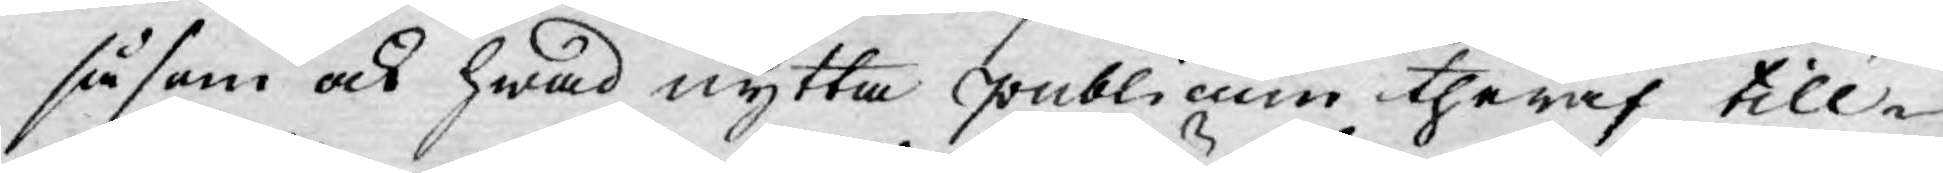såsom ock hwad nytta publicum theraf till¬
